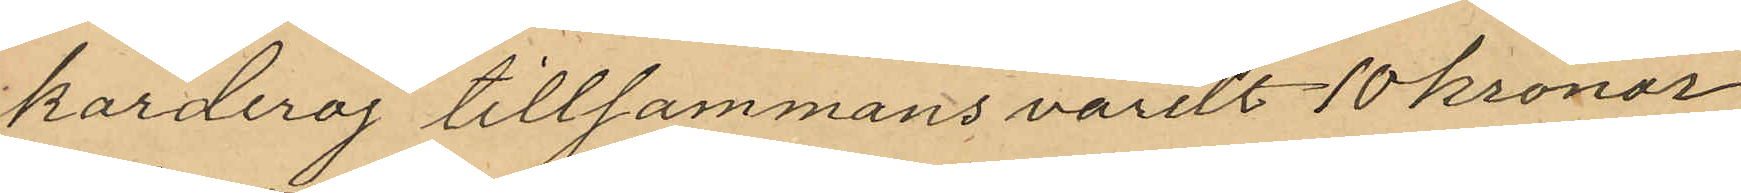korderoj tillsammans värdt 10 kronor
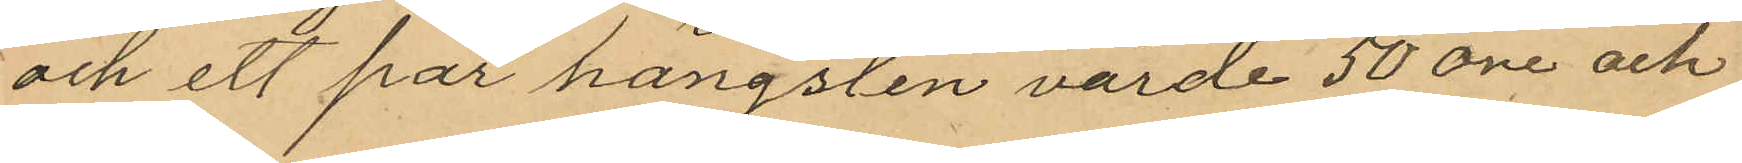och ett par hängsten värde 50 öre och
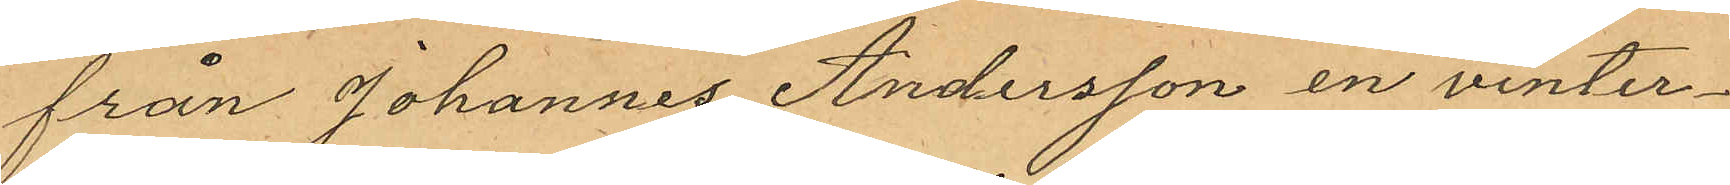från Johannes Andersson en vinter¬
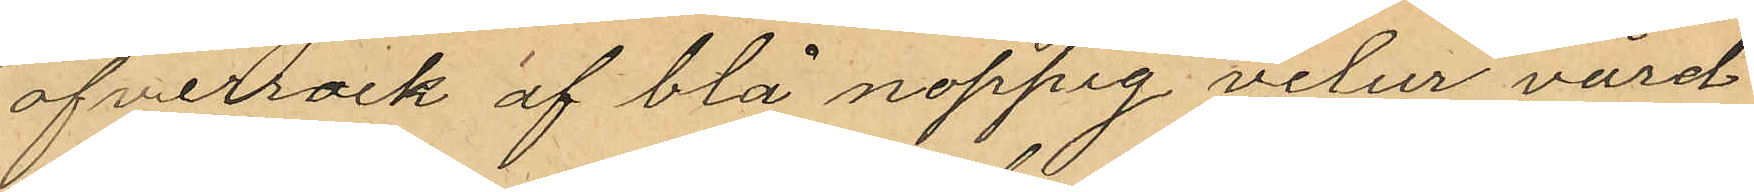öfverrock af blå noppig velur värd
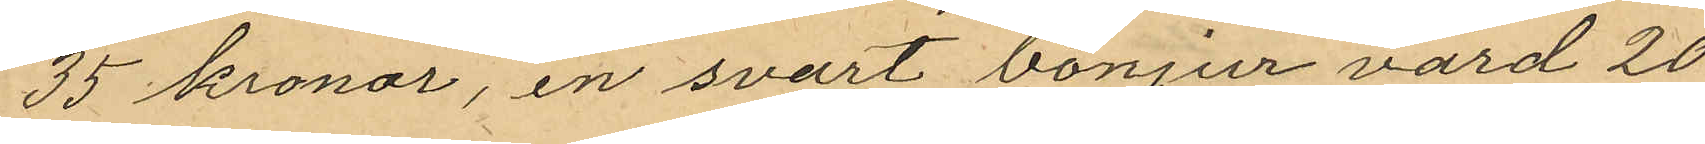35 kronor, en svart bonjur värd 20
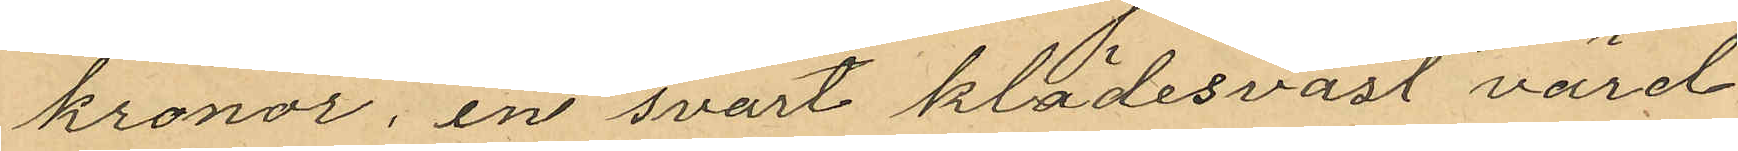kronor, en svart klädesväst värd
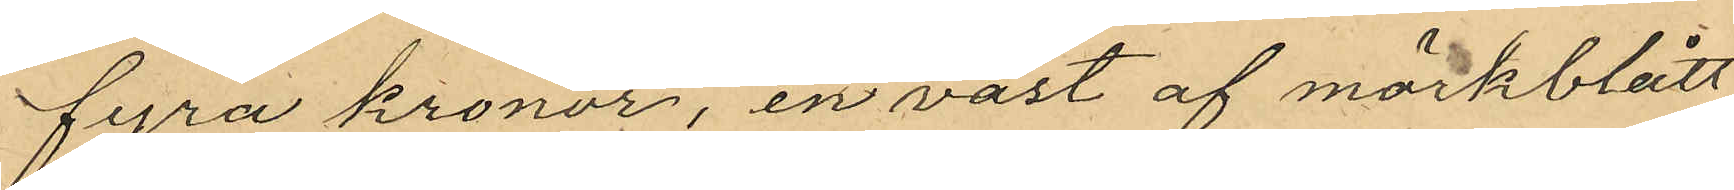fyra kronor, en väst af mörkblått
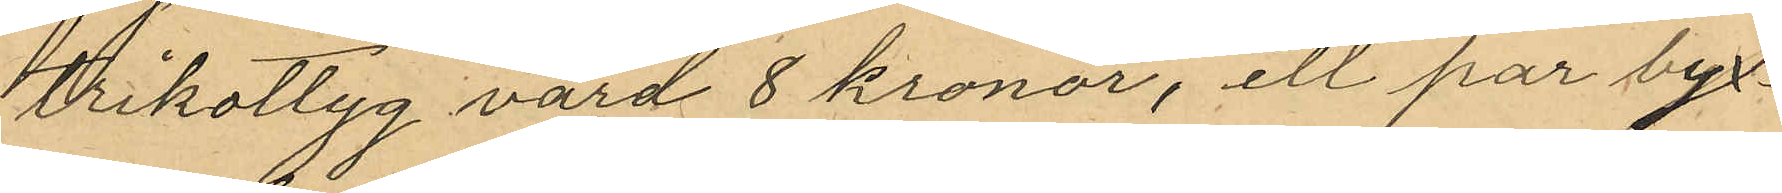trikottyg värd 8 kronor, ett par byx¬
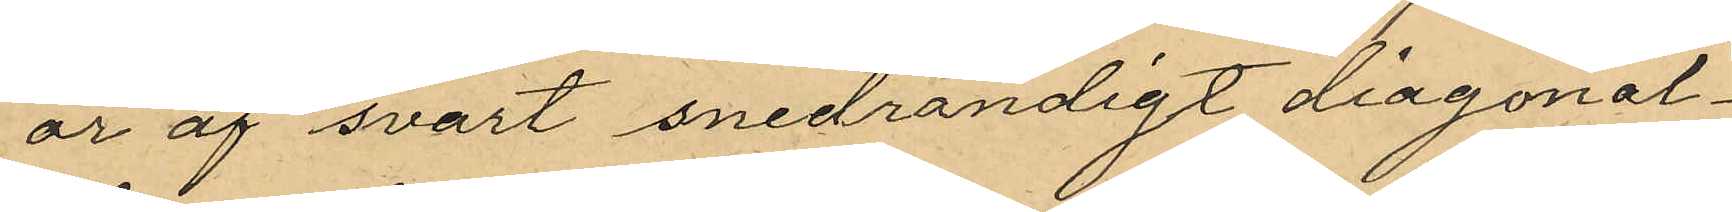or af svart snedrandigt diagonal¬
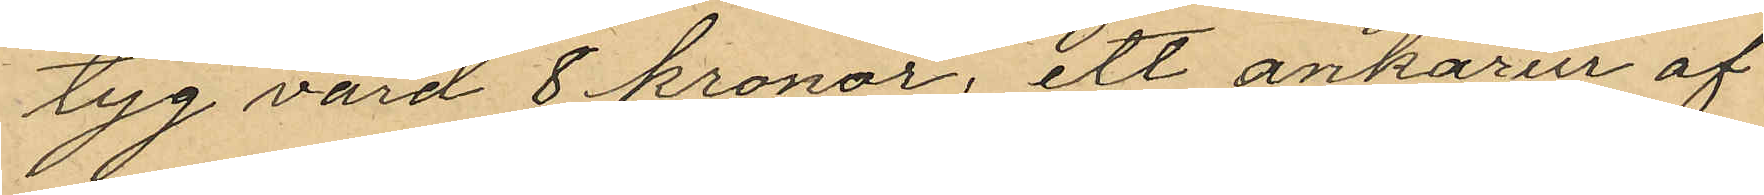tyg värd 8 kronor, ett ankarur af
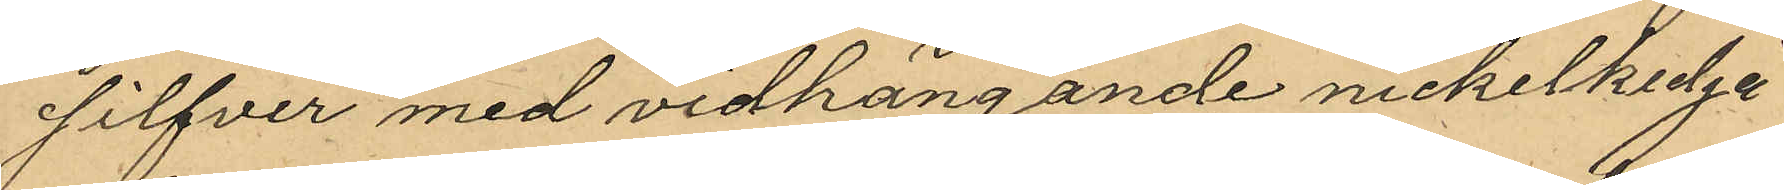silfver med vidhängande nickelkedja
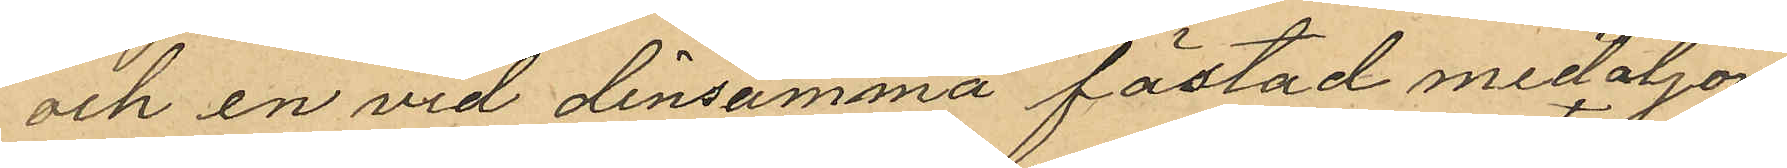och en vid densamma fästad medaljong
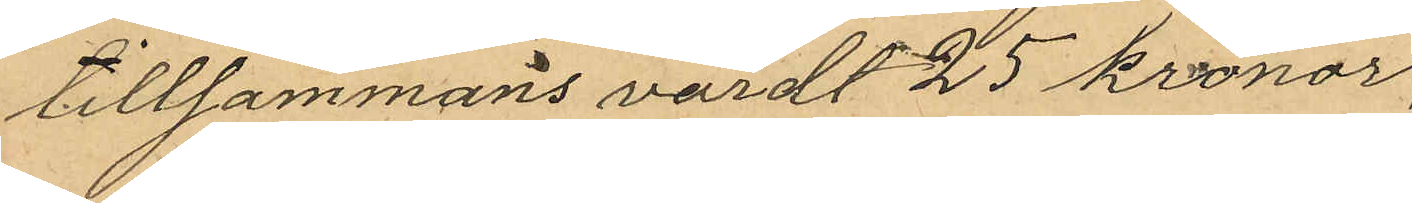tillsammans värdt 25 kronor
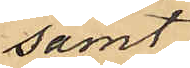samt
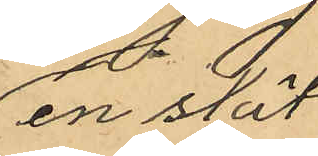en slät
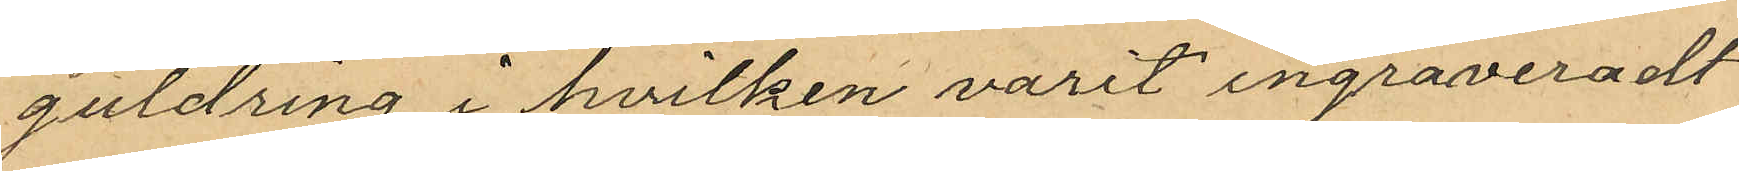guldring i hvilken varit ingraveradt
